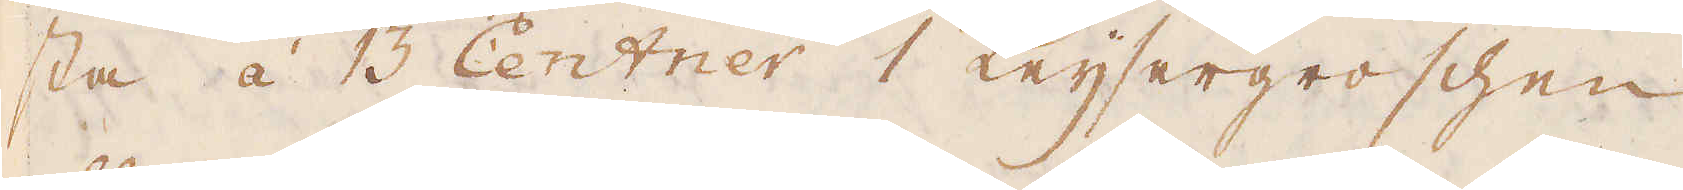sta á 13 Centner 1 Keijsergroschen
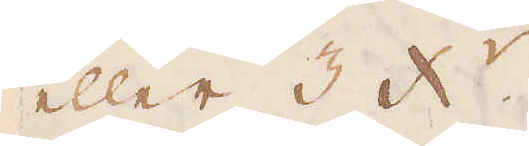eller 3 x:r.
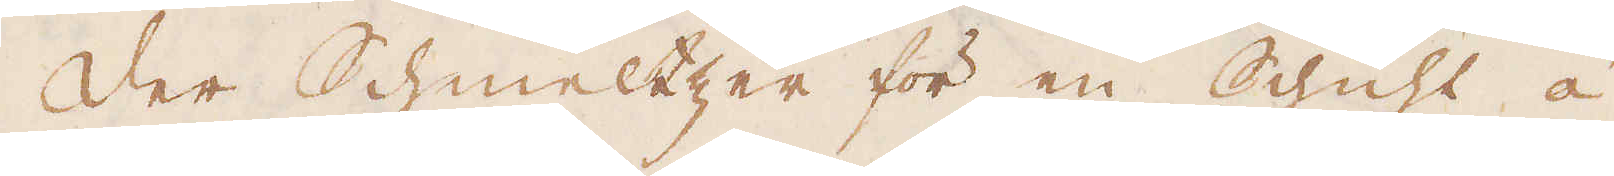Der Schmeltzer för en Schicht á
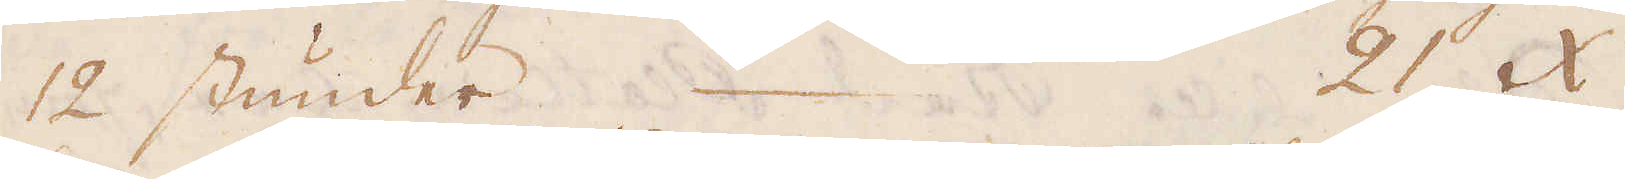12 stunder 21 x:r.
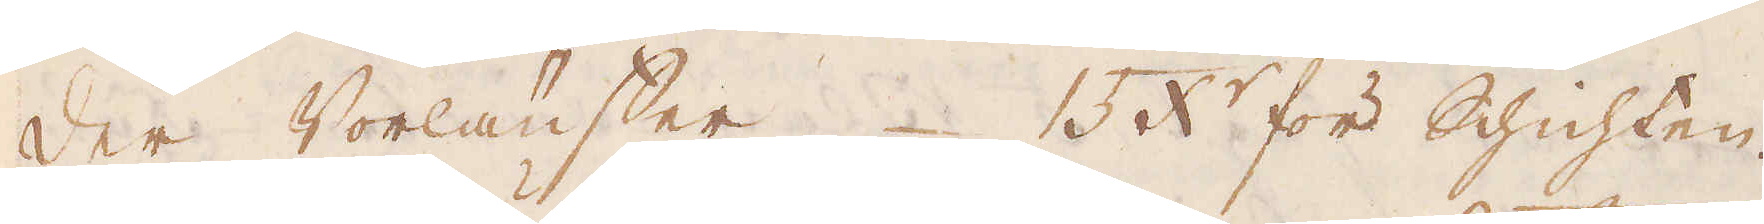Der Vorlaufer 15 x:r för Schichten.
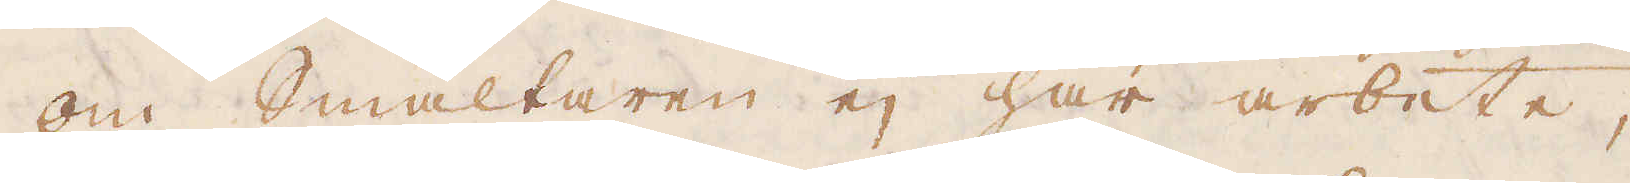Om Smältaren ej har arbete,
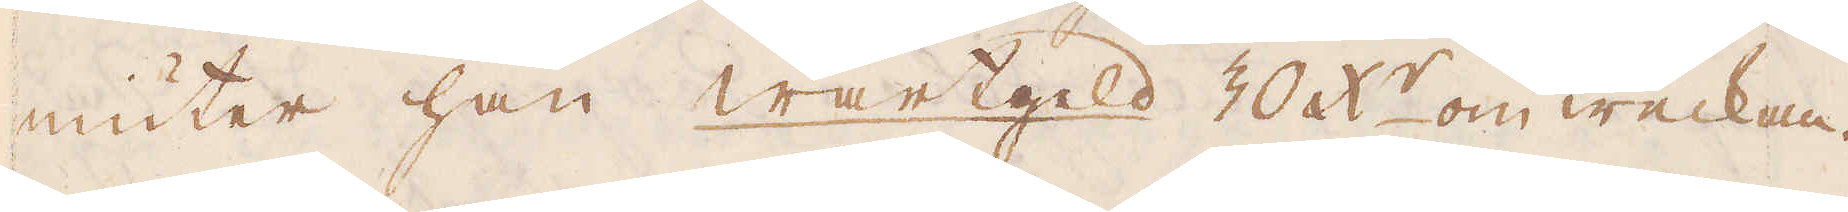niuter han wartgeld 30 x:r om weckan.
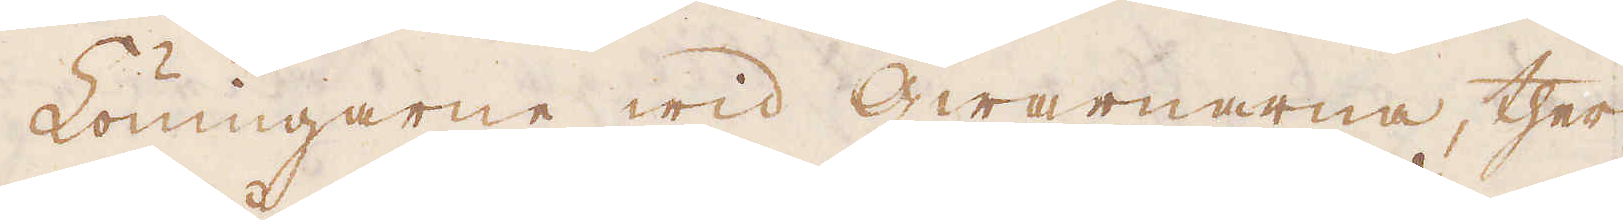Löningarne wid qwarnarna, ther
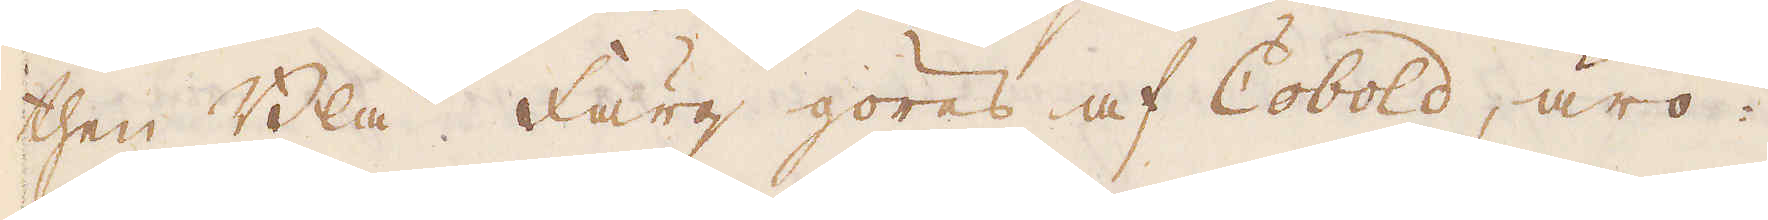then Blå Färg göres af Cobold, äro:
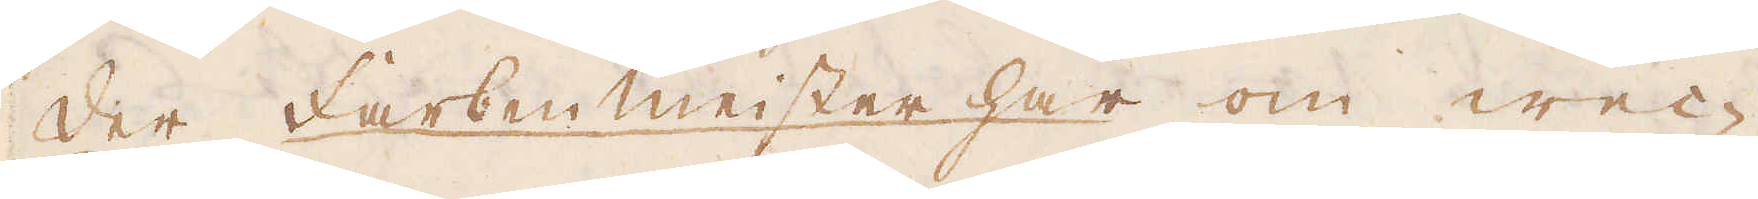Der Farbenmeister har om wec-
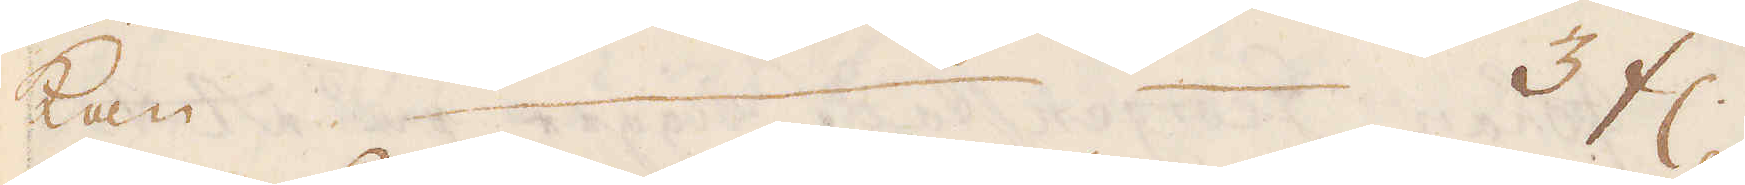kan 3 fl.
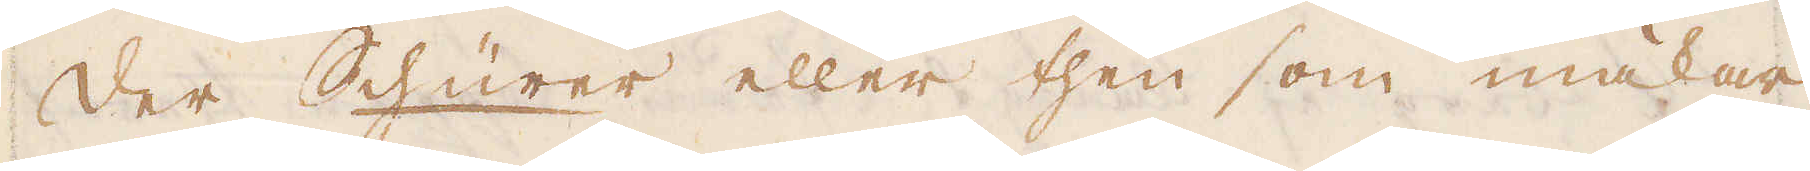Der Schürer eller then som makar
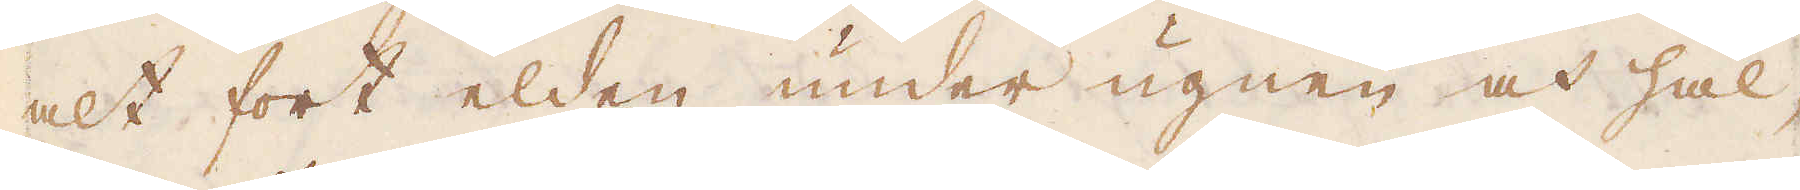alt fort elden under ugnen och hål-
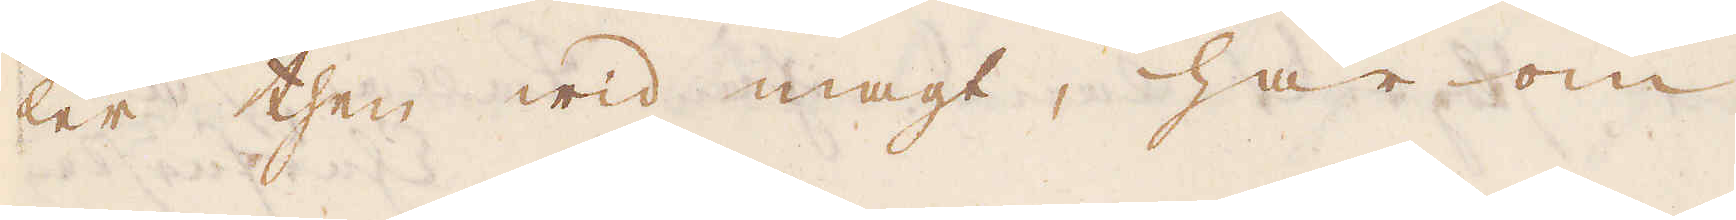ler then wid magt, har om
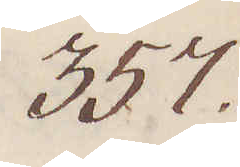357.
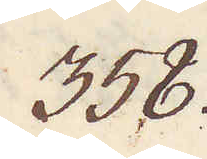358.
